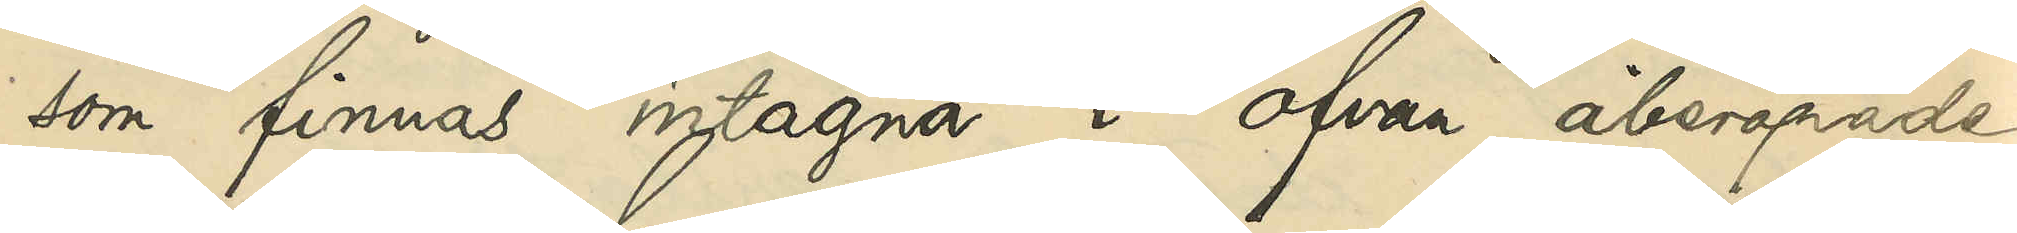som finnas intagna i ofvan åberopade
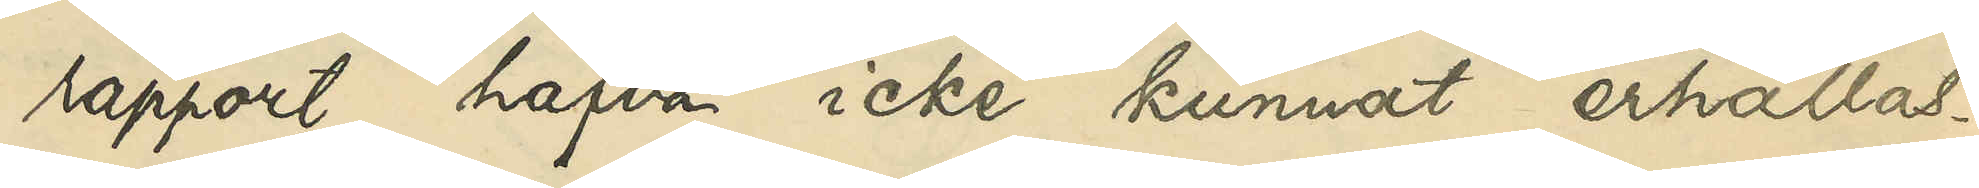rapport hafva icke kunnat erhållas.
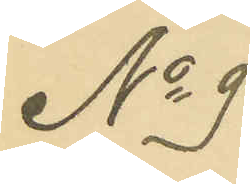No 9
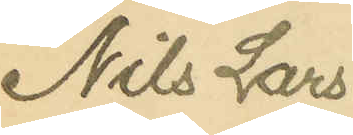Nils Lars¬
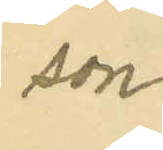son
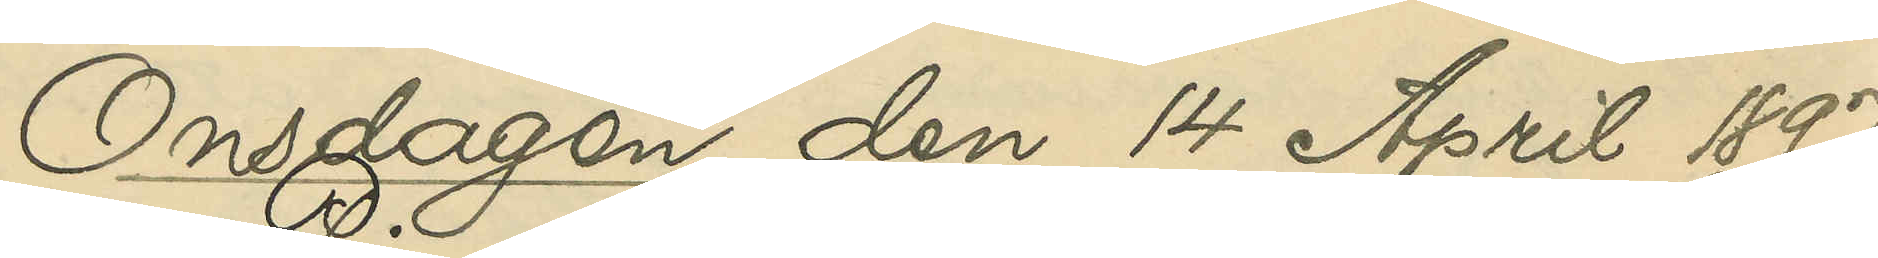Onsdagen den 14 April 1897.
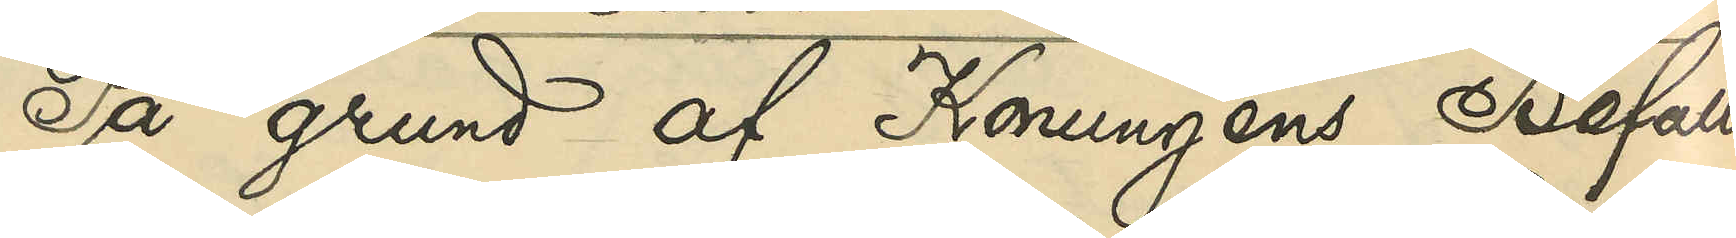På grund af Konungens Befall¬
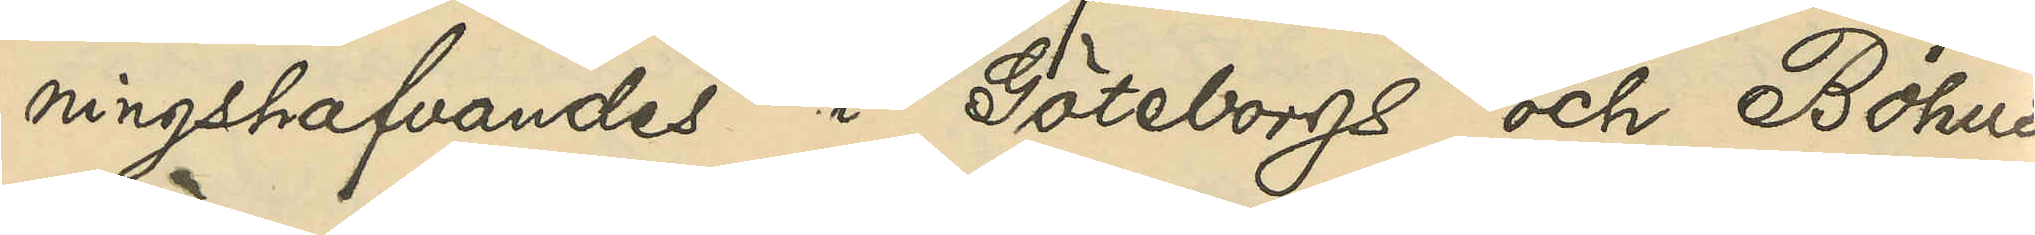ningshafvandes i Göteborgs och Bohus
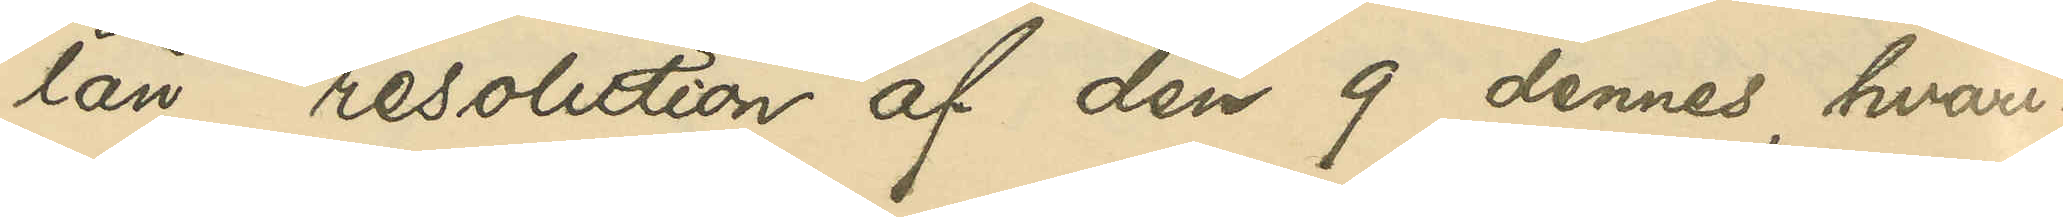län resolution af den 9 dennes, hvari¬
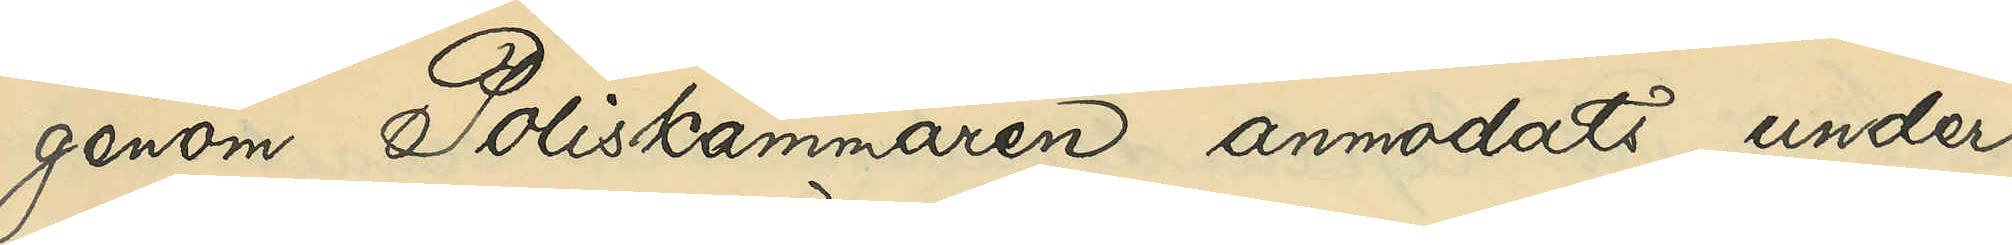genom Poliskammaren anmodats under¬
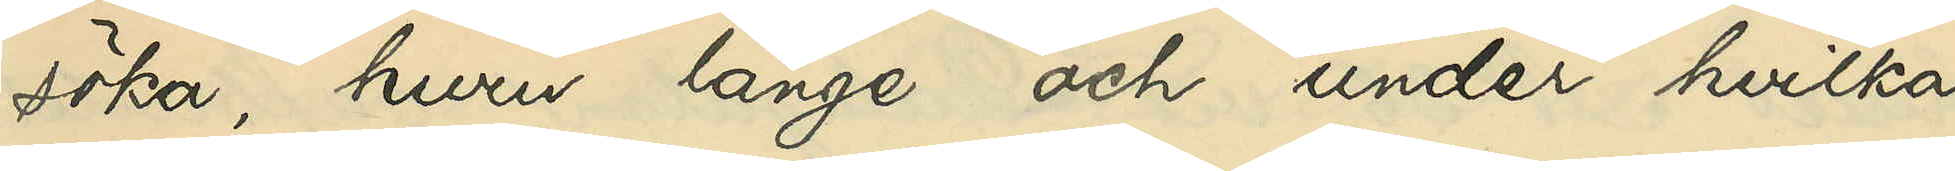söka, huru länge och under hvilka
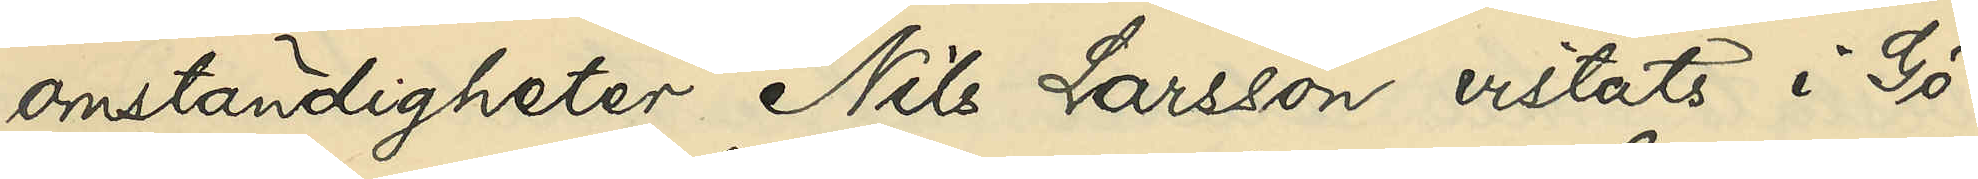omständigheter Nils Larsson vistats i Gö¬
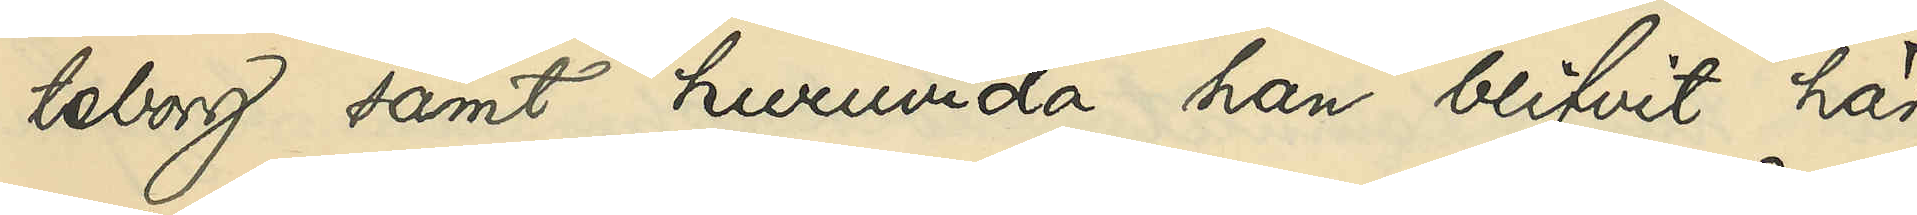teborg samt huruvida han blifvit här
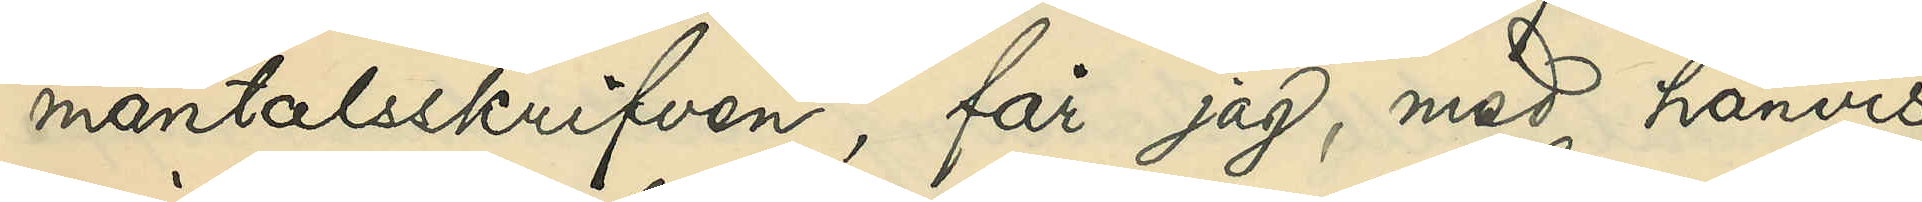mantalsskrifven, får jag, med hänvis¬
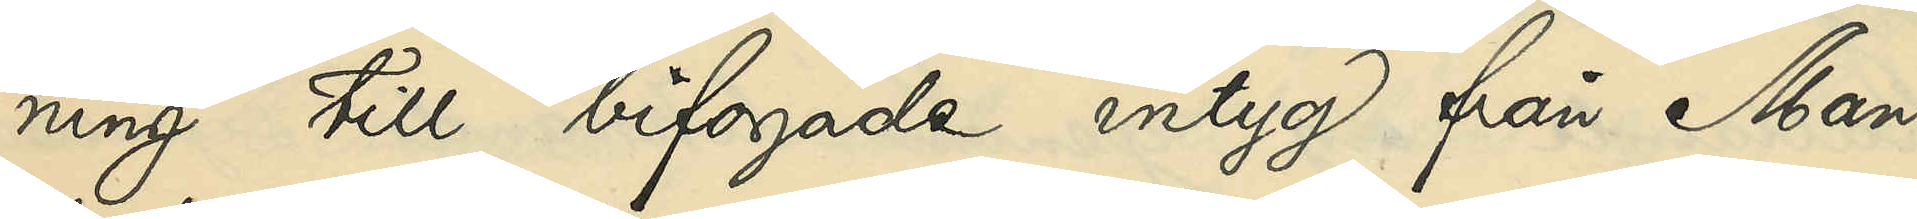ning till bifogade intyg från Man¬
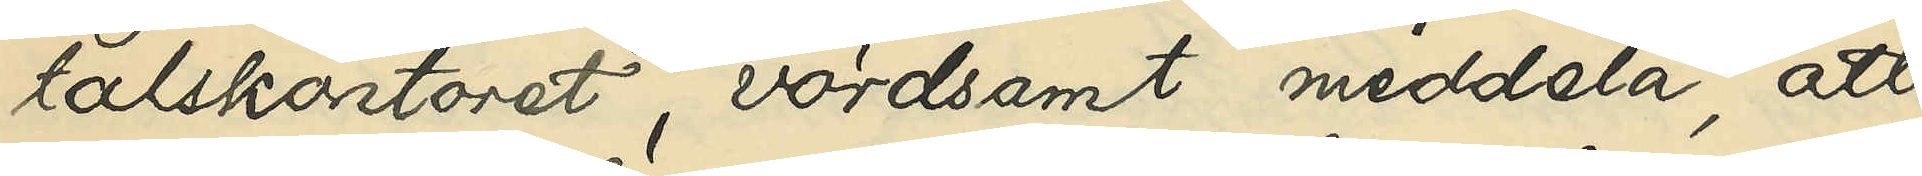talskontoret, vördsamt meddela, att
